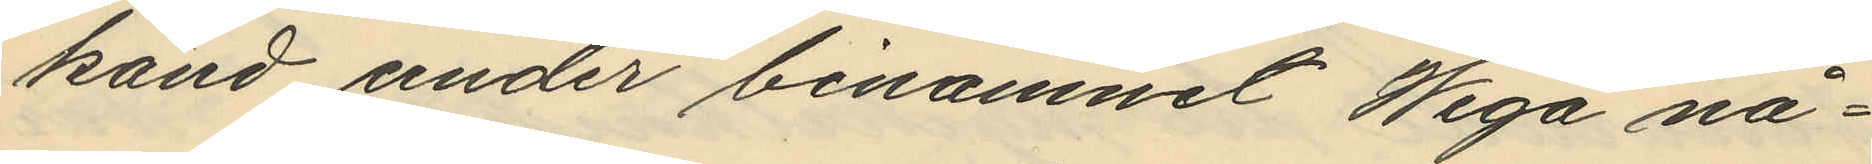känd under binamnet Wega nå¬
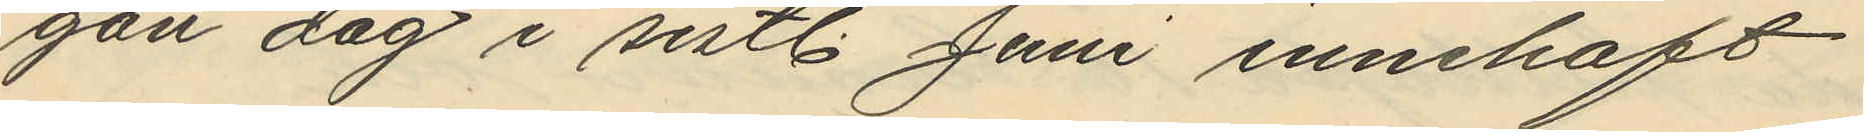gon dag i sistl. Juni innehaft
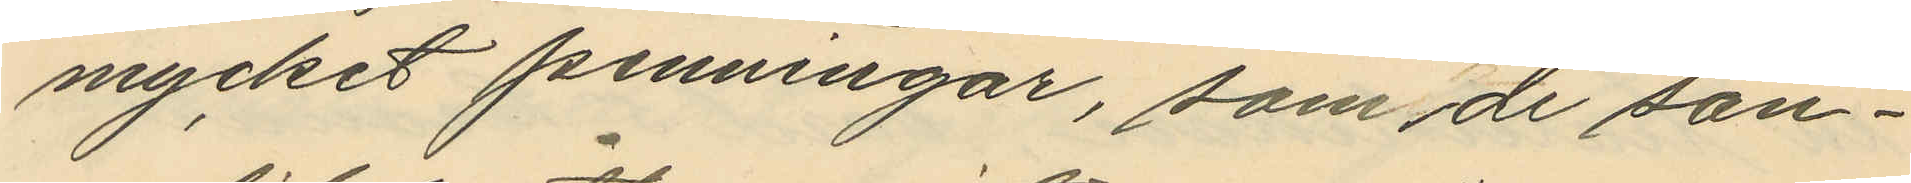mycket penningar, som de san¬
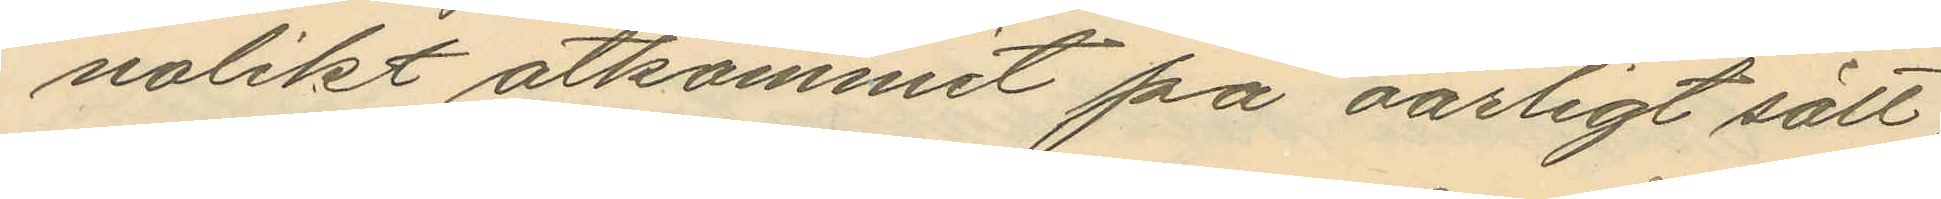nolikt åtkommit på oärligt sätt
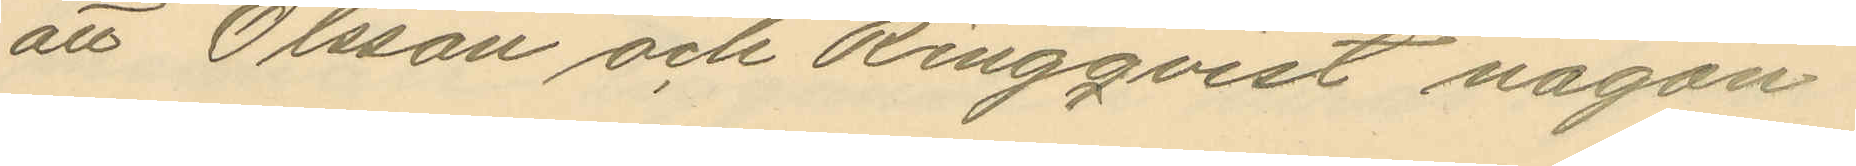att Olsson och Ringqvist någon
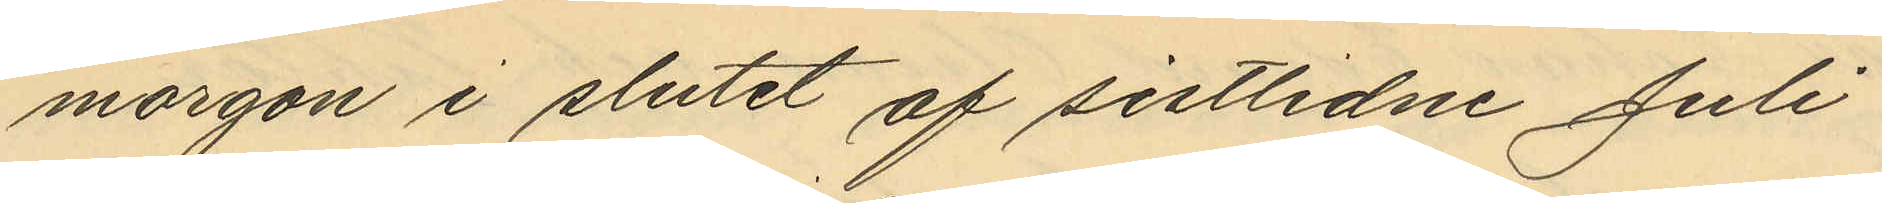morgon i slutet af sistlidne Juli
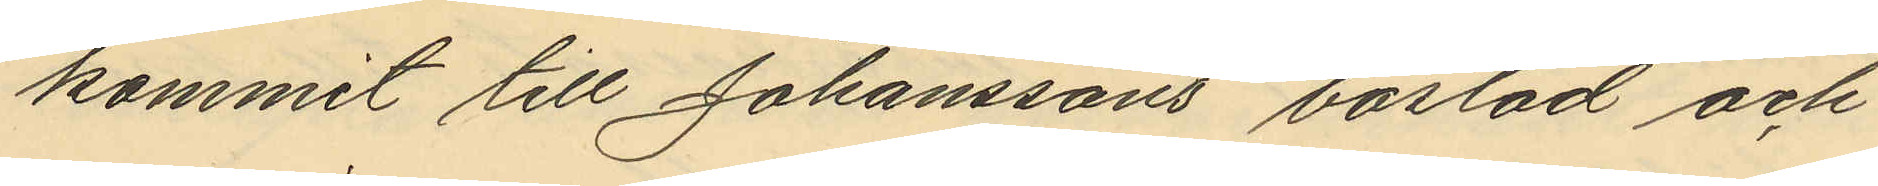kommit till Johanssons bostad och
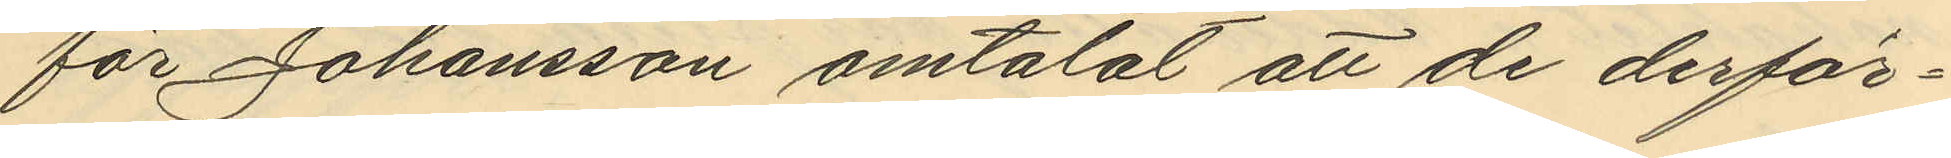för Johansson omtalat att de derför¬
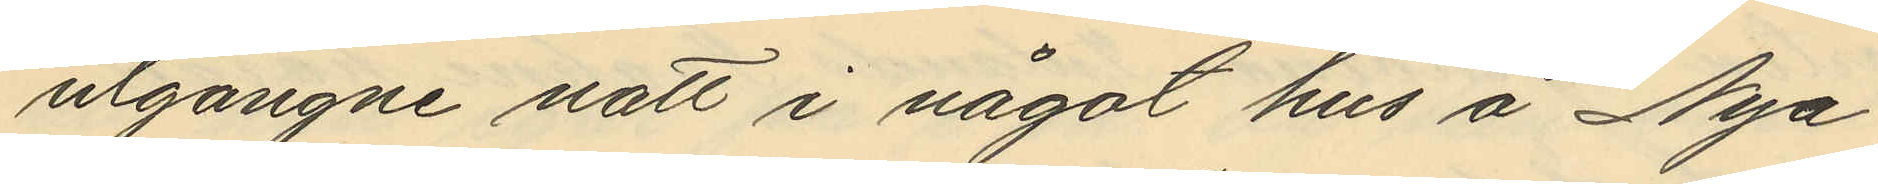utgångne natt i något hus å Nya
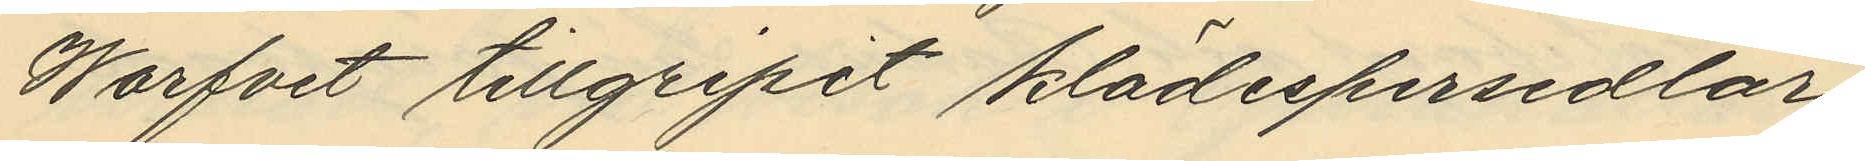Warfvet tillgripit klädespersedlar
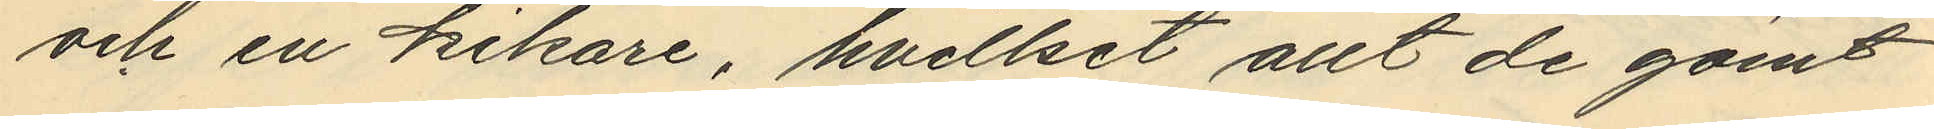och en kikare, hvilket allt de gömt
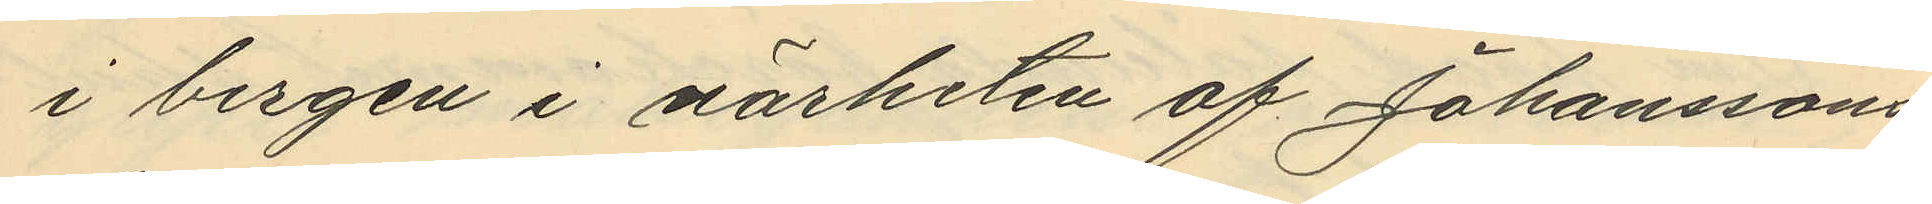i bergen i närheten af Johanssons
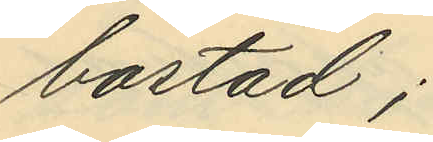bostad;
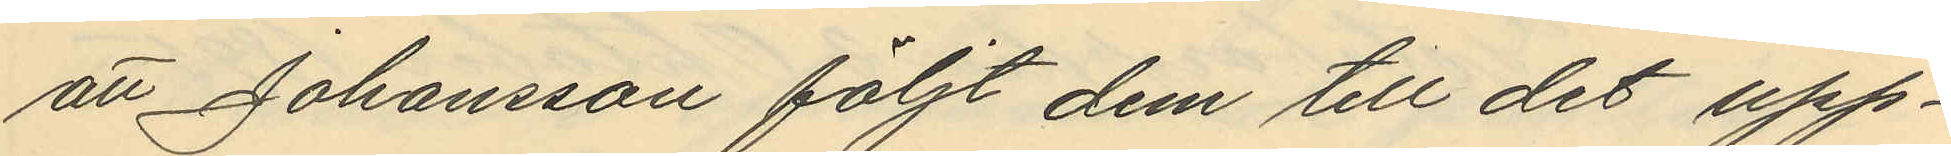att Johansson följt dem till det upp¬
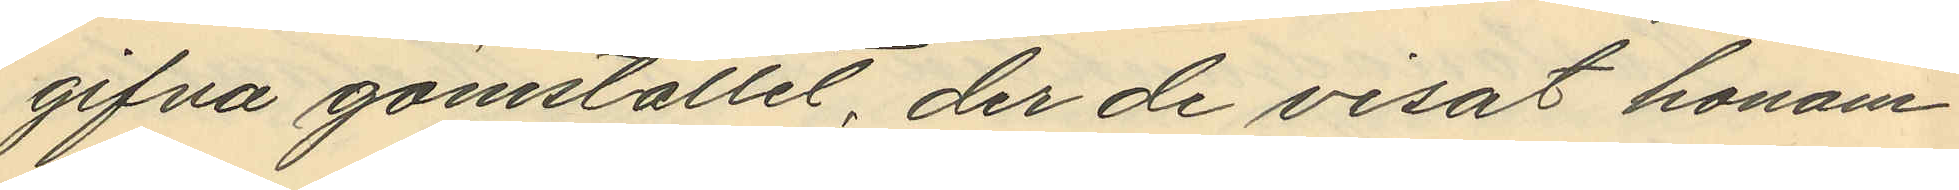gifna gömstället, der de visat honom
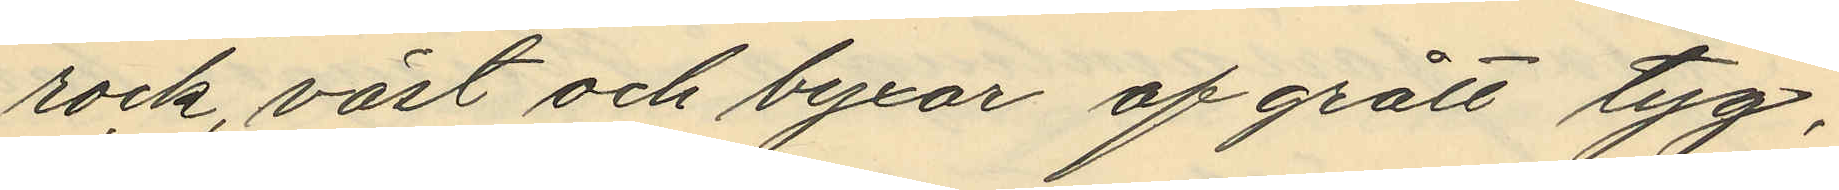rock, väst och byxor af grått tyg,
